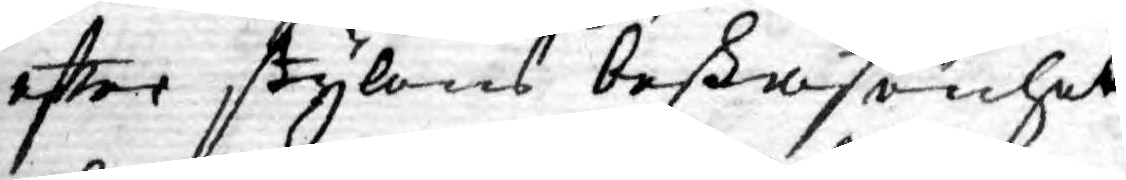efter stylens beskafenhet
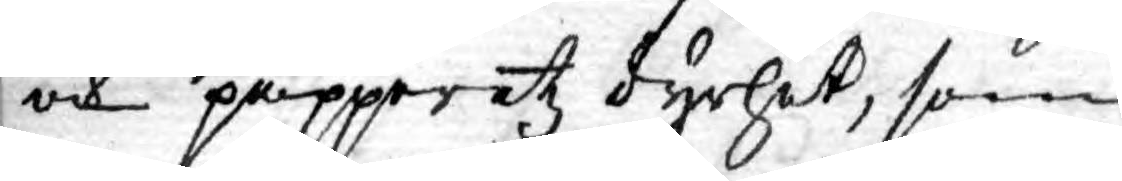och papperetz dyrhet, som
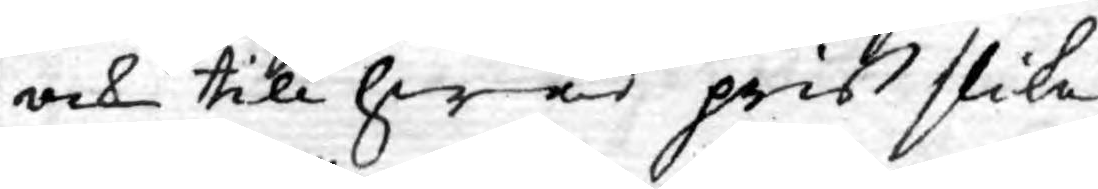ock till hwad pris slika
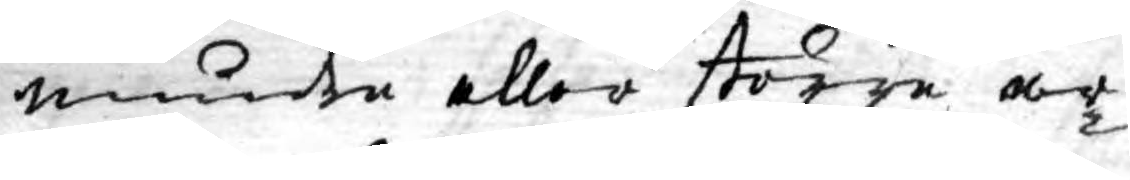mindre eller större ar¬
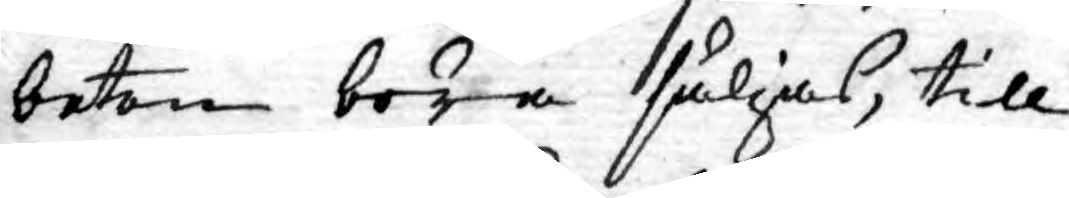beten böra säljas, till
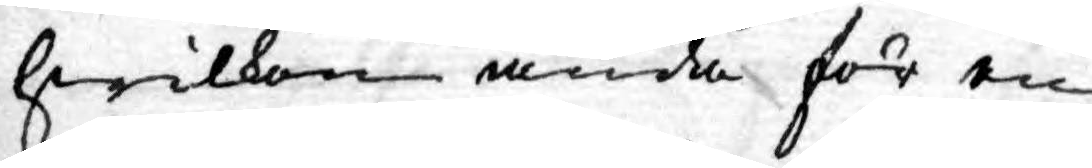hwilken ända för en
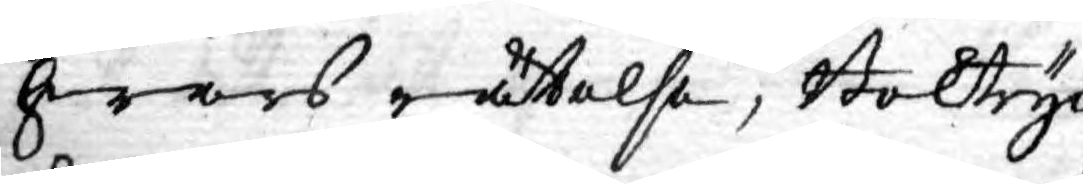hwars rättelse, Boktryc¬
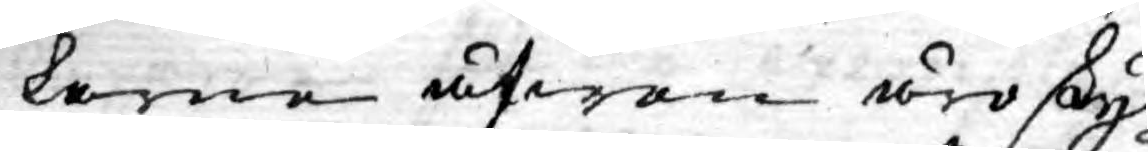kerne äfwen äro skyl¬
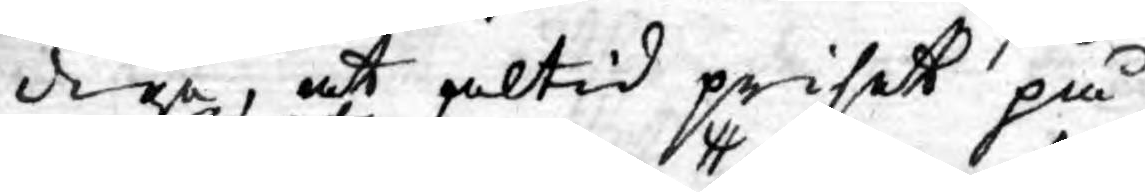diga, at altid priset på
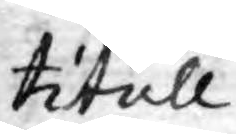titull
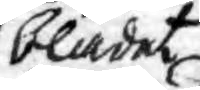bladet
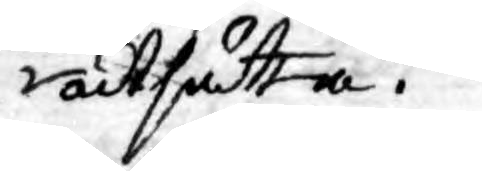utsätta.
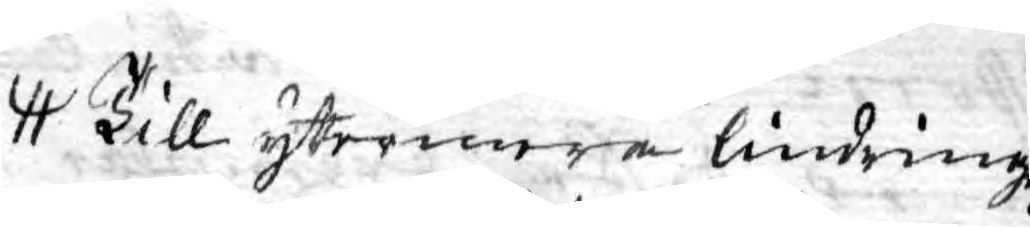Till ytermera lindringz
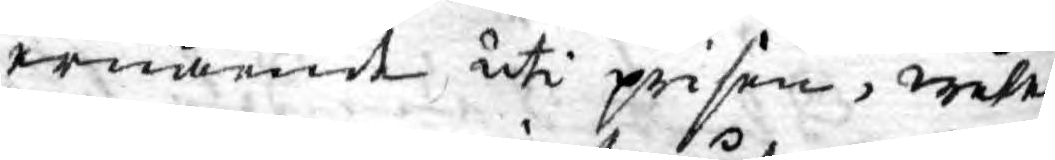ernående uti prisen, wele
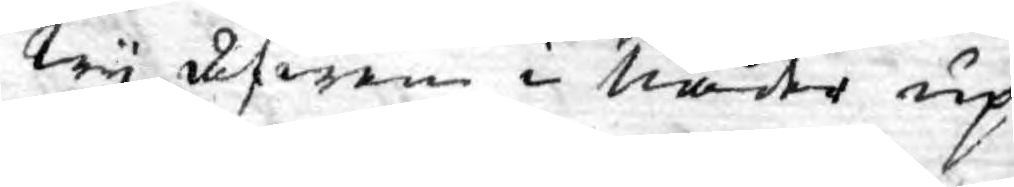Wy äfwen i Nåder up¬
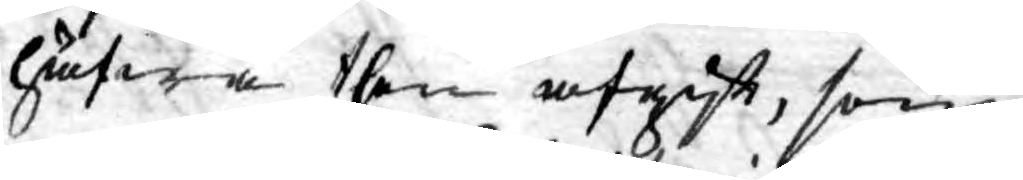häfwa then afgift, som
